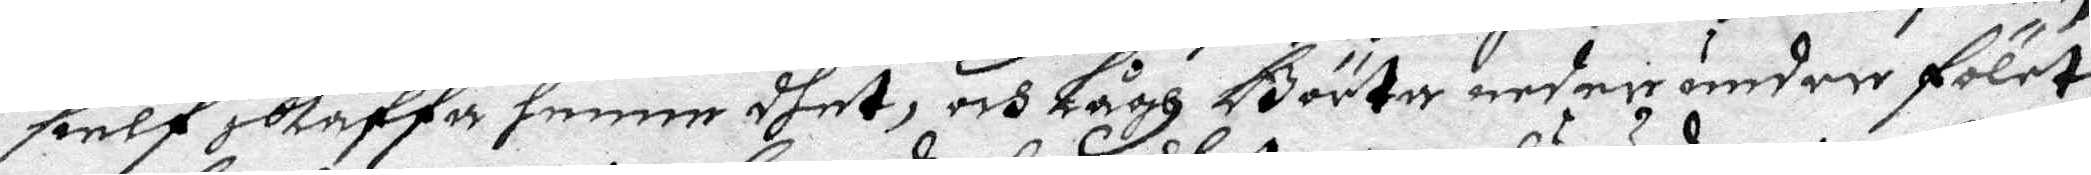sielf skaffa henne dhet, och Lågh Börta neder under fölet,
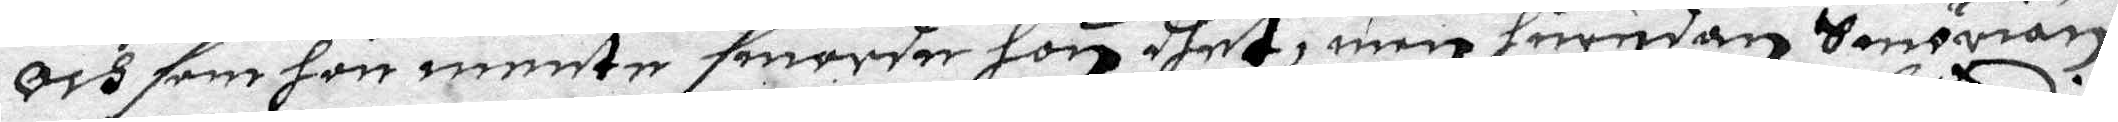Och som hon mente smorder hon dhet, men hurudan Smörian
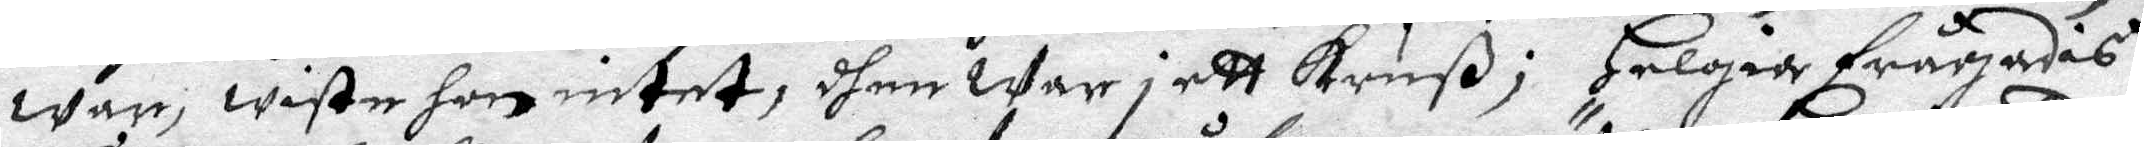war, wiste hon intet, dhen war i ett kruß; Helgia frågades
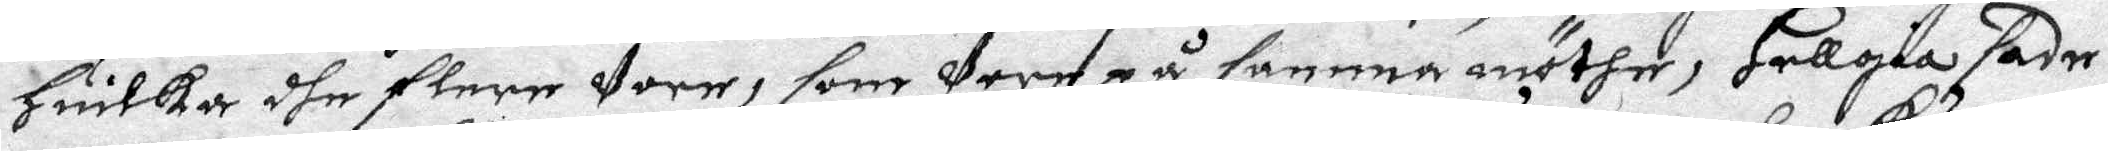Huilka dhe flere wore, som were på samma möther, Hellgia sader
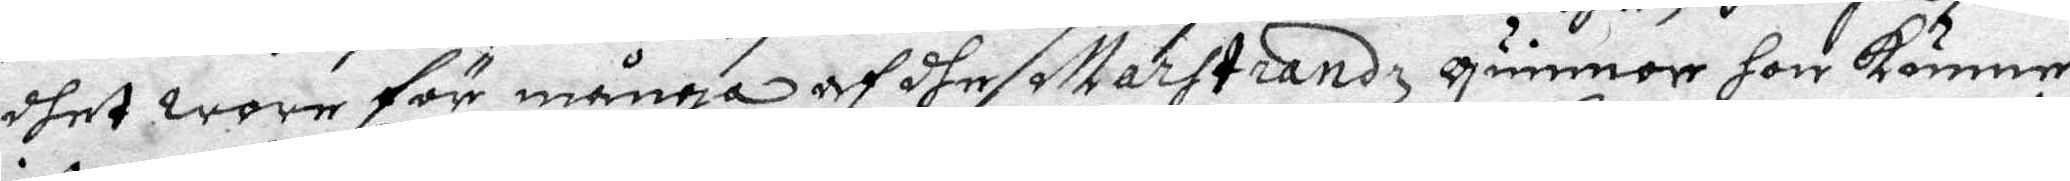dhet wore för många af dhe Marstrandz gummor hon känner
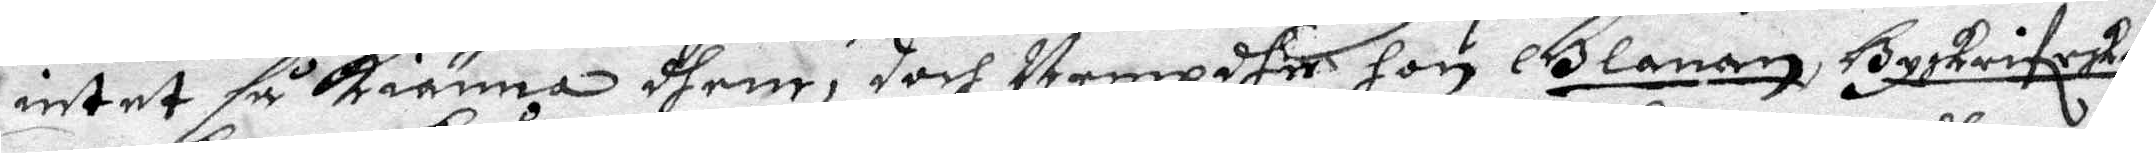intet så kiänna dhem, doch Nempdhe hon Glanan, Byskriferkan
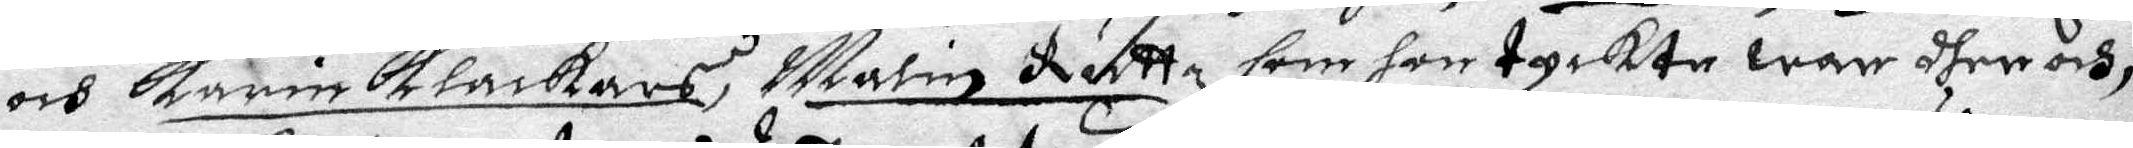och Karin Klåckars, Malin Rutt, som hon tyckte war dher och;
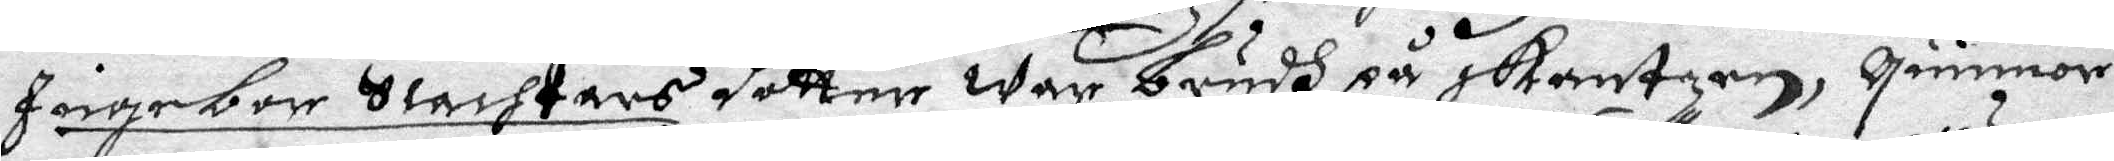Ingebor Slachtars dotter war brudh på skantzen, qwinnor
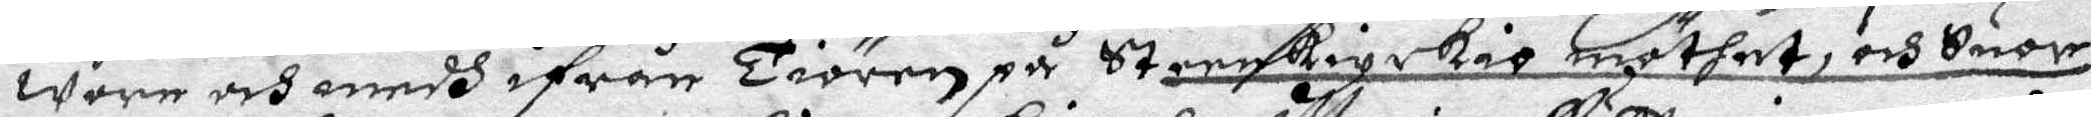wore och medh ifrån Tiören på Steerkiyrkia möthet, och Svor
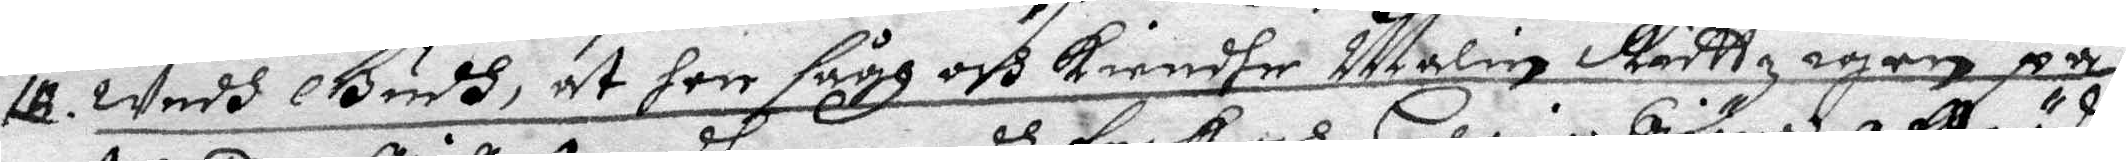12. wedh Gudh, at hon sågh och Kiendhe Malin Ruttz igen på
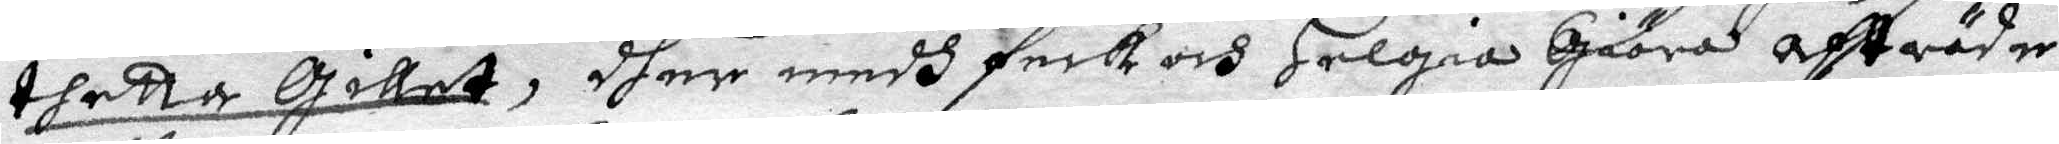thetta Gillet, dher medh feck och Helgia Giöra afträde
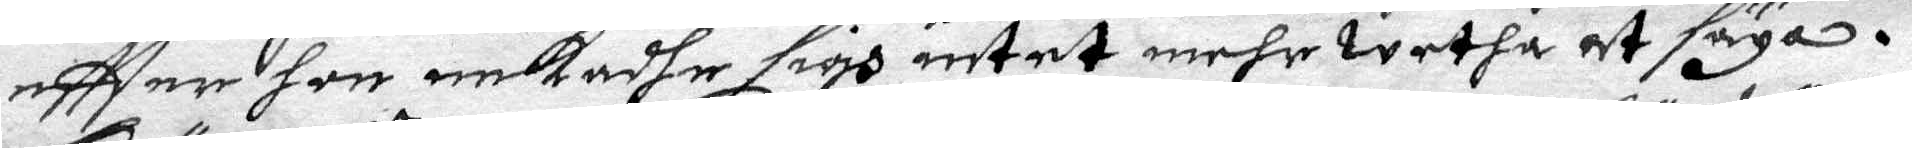eftter hon nekadhe sigh intet mehr wetha at säga.
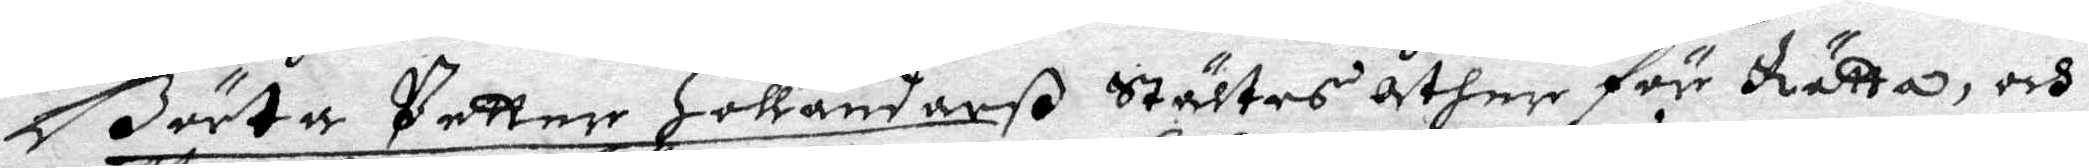Börta Petter Holländerß Stältes åther för Rätta, och
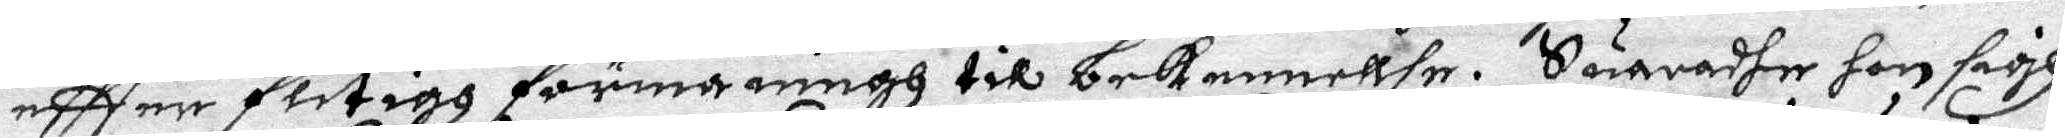effter flitigg förmaningh till bekennellse. Suaradher hon sigh
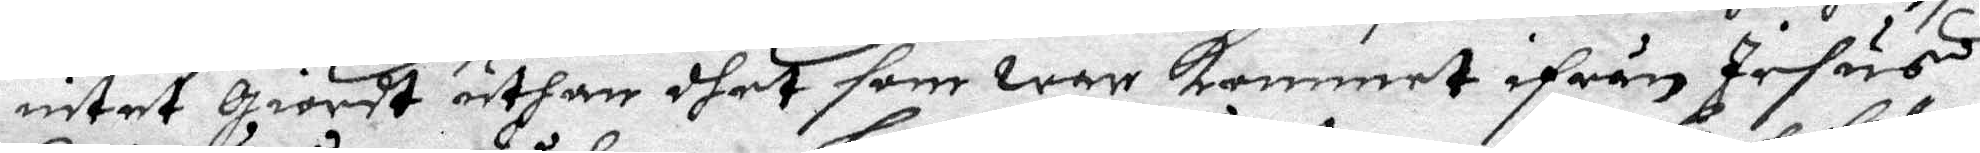intet giordt, uthan dhet som war kommet ifrån Jesus
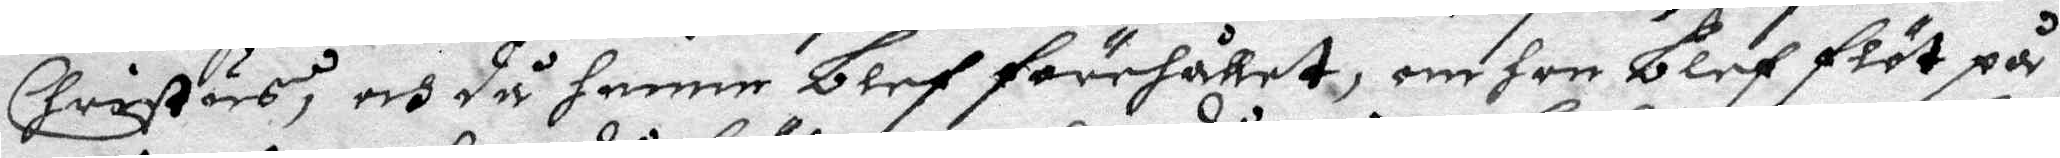Christus, och då henne blef förehållet, om hon blef flöt på
